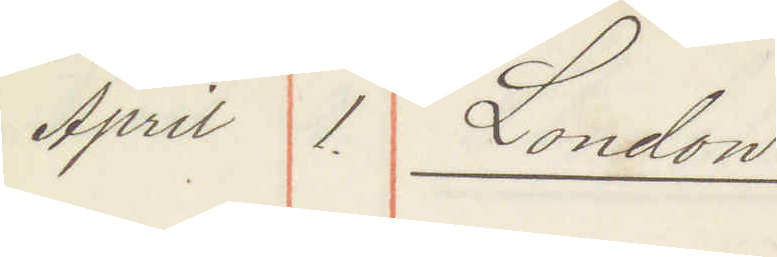April 1. London
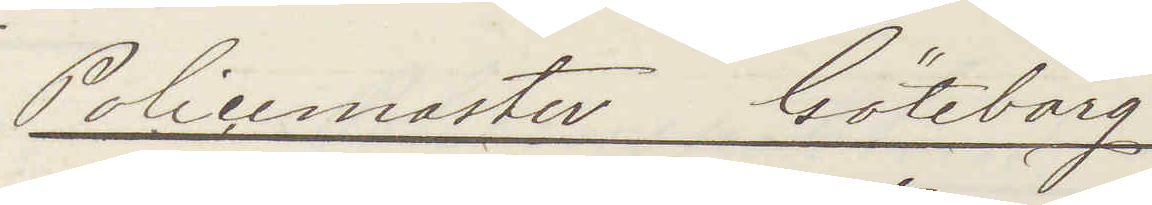Policemaster Göteborg
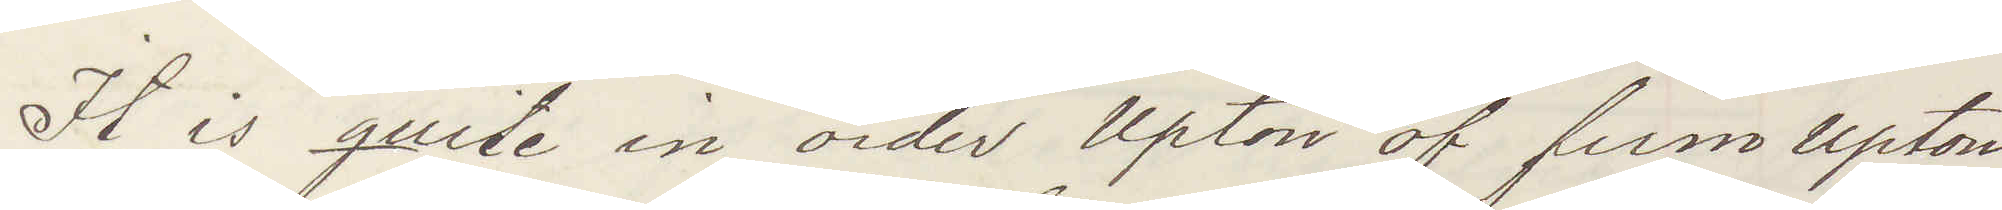It is quite in order Upton of firm Upton
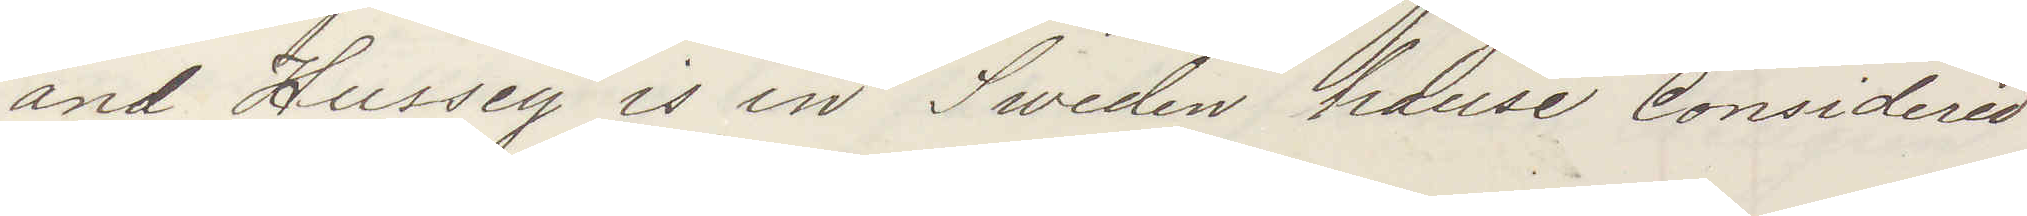and Hussey is in Sweden house Considered
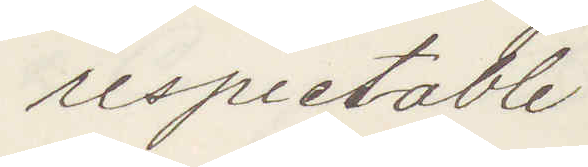respectable.
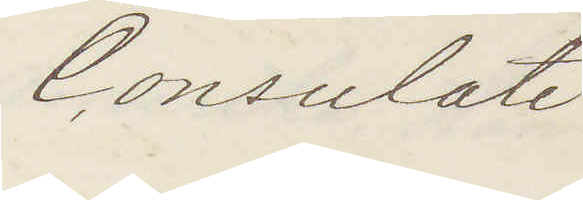Consulate
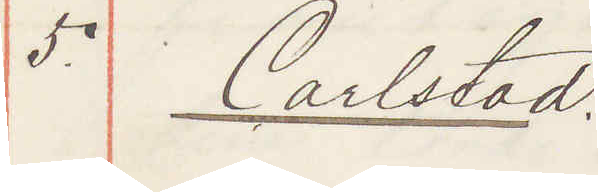5. Carlstad.
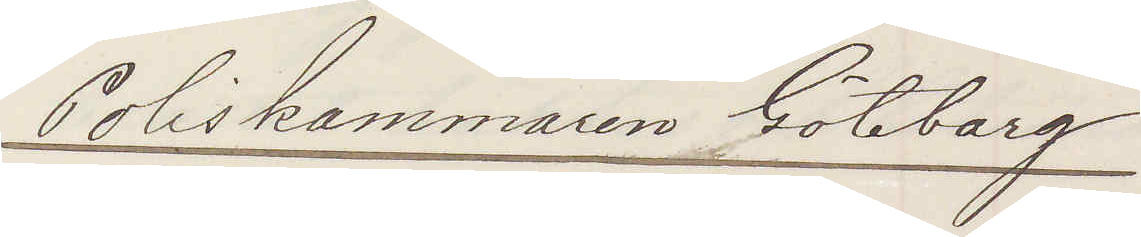Poliskammaren Göteborg
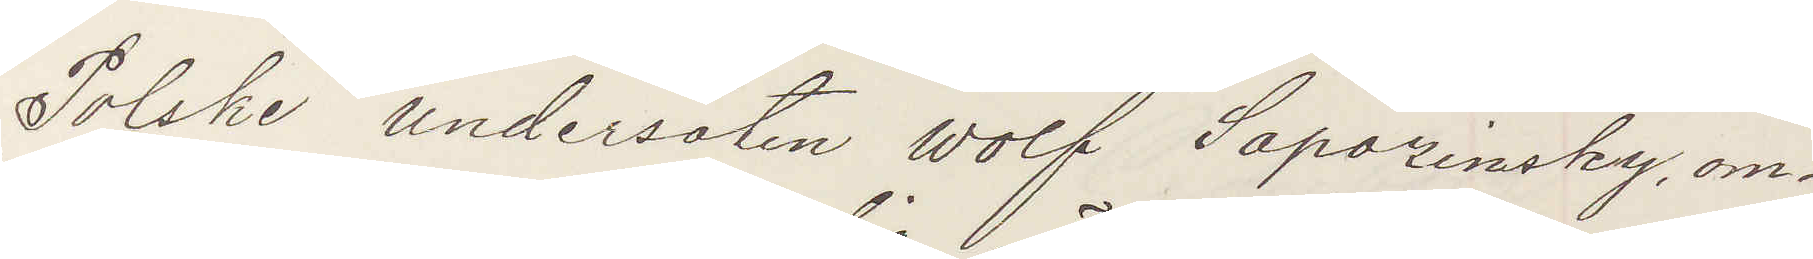Polske undersåten Wolf Sapozinsky, om¬
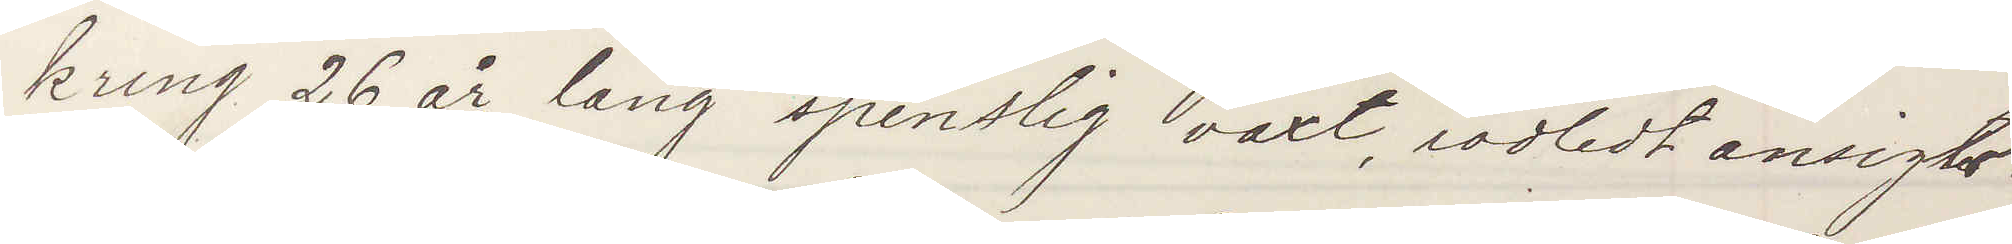kring 26 år, lång spenslig växt, rödledt ansigts¬
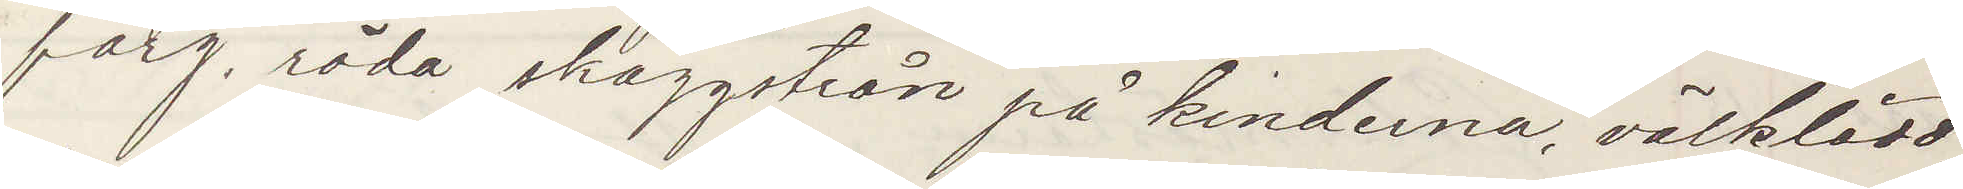färg, röda skäggstrån på kinderna, välklädd,
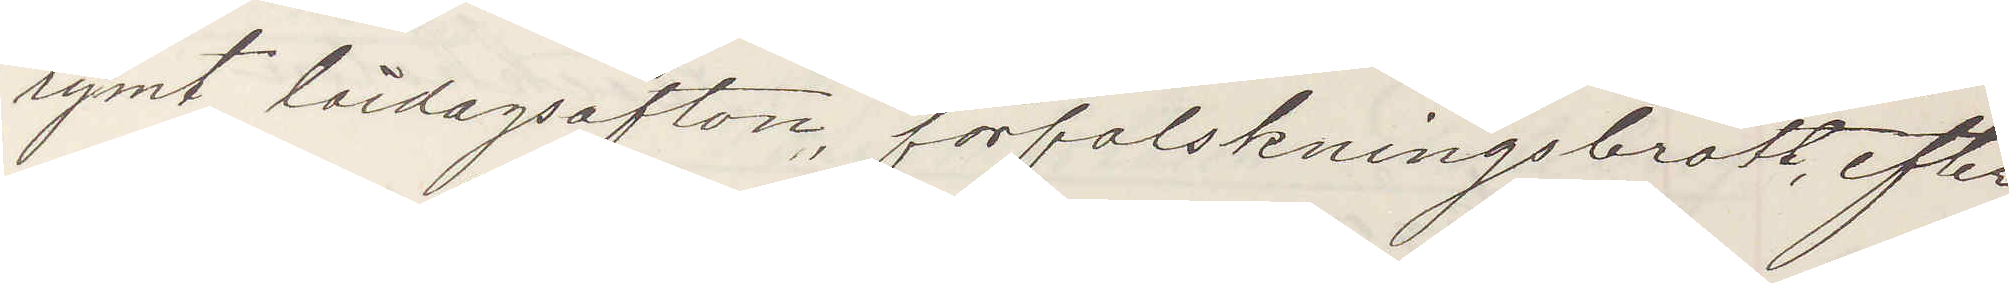rymt lördagsafton, förfalskningsbrott, efter¬
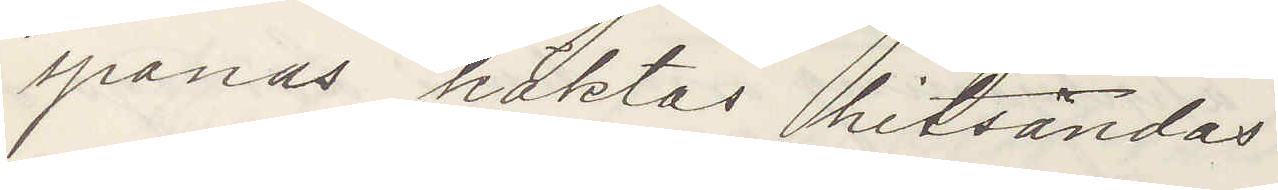spanas häktas hitsändes.
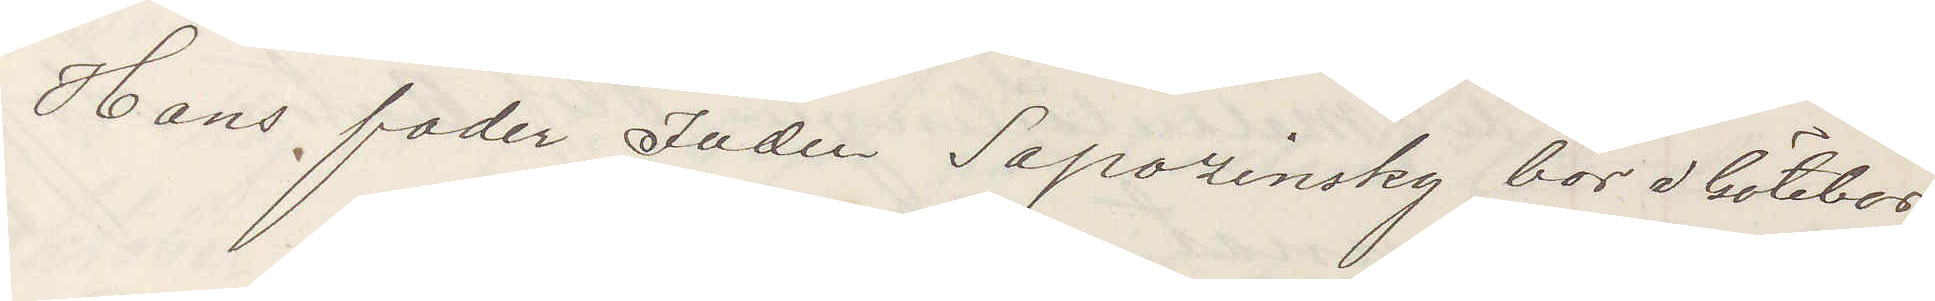Hans fader Juden Sapozinsky bor i Göteborg
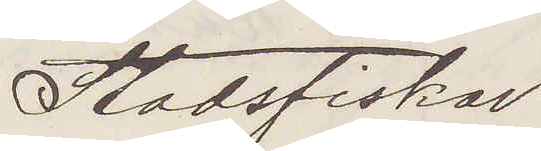Stadsfiskal
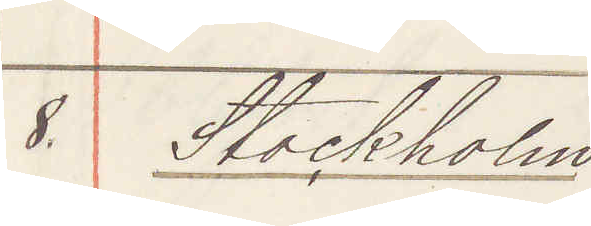8. Stockholm
